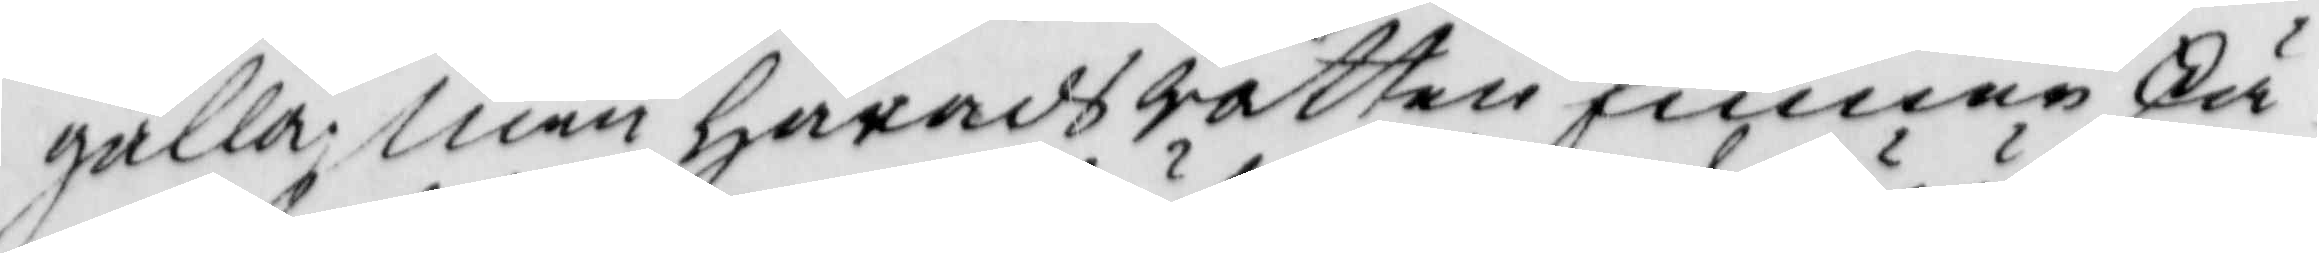gälla. Men Häradsrätten finner skä¬
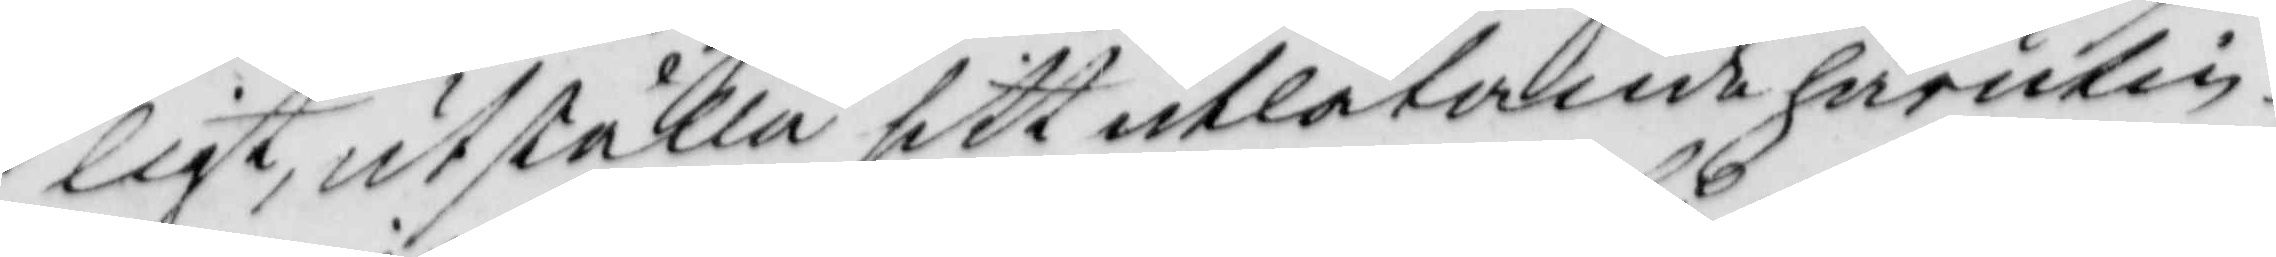ligt, utställa sitt utlåtande härutin¬
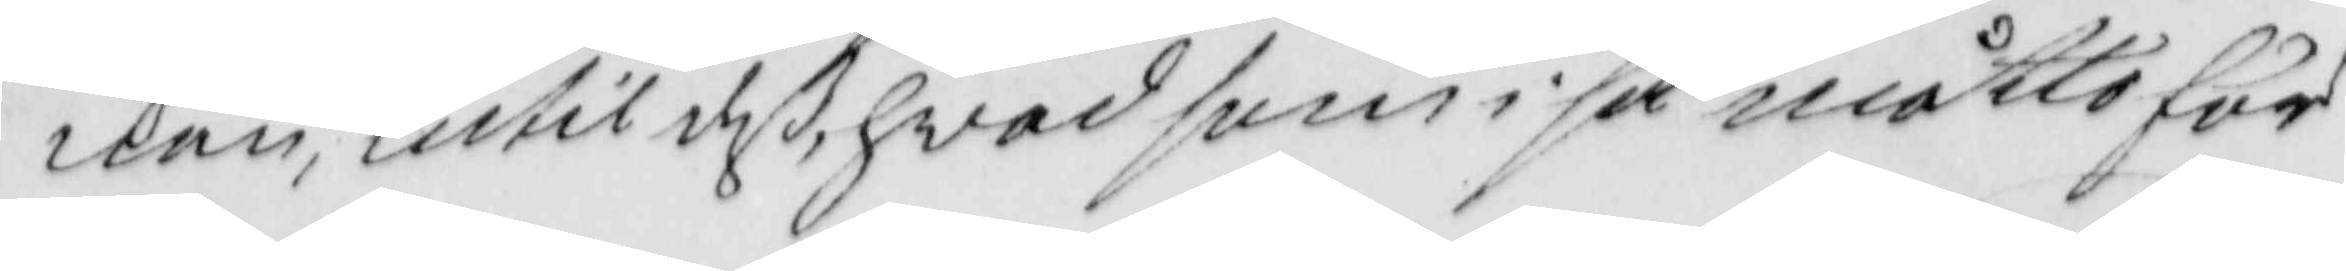nan, intil deß hvad som i så måtto för
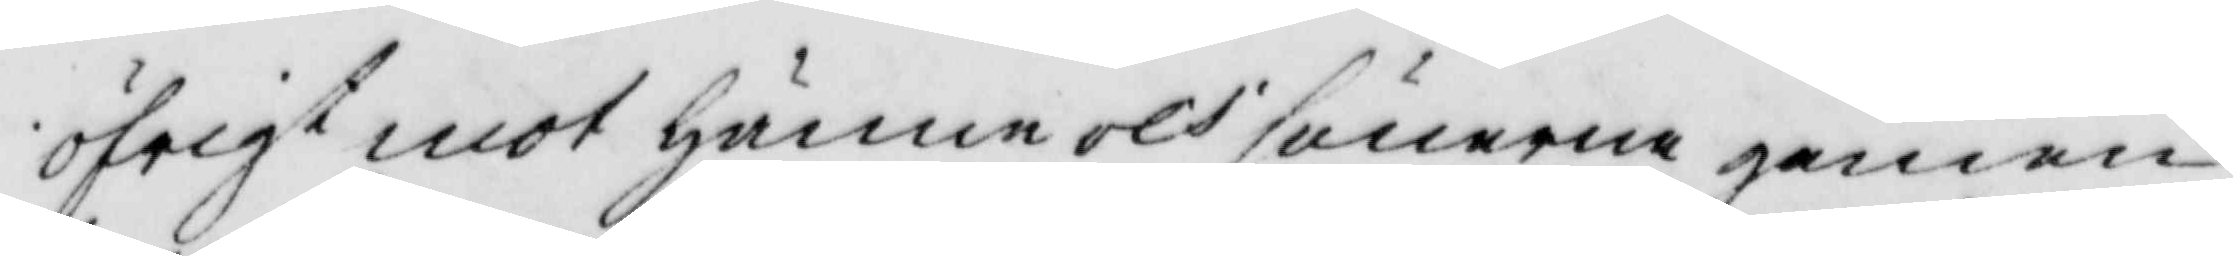öfrigt mot Hänne och sönerne gemen¬
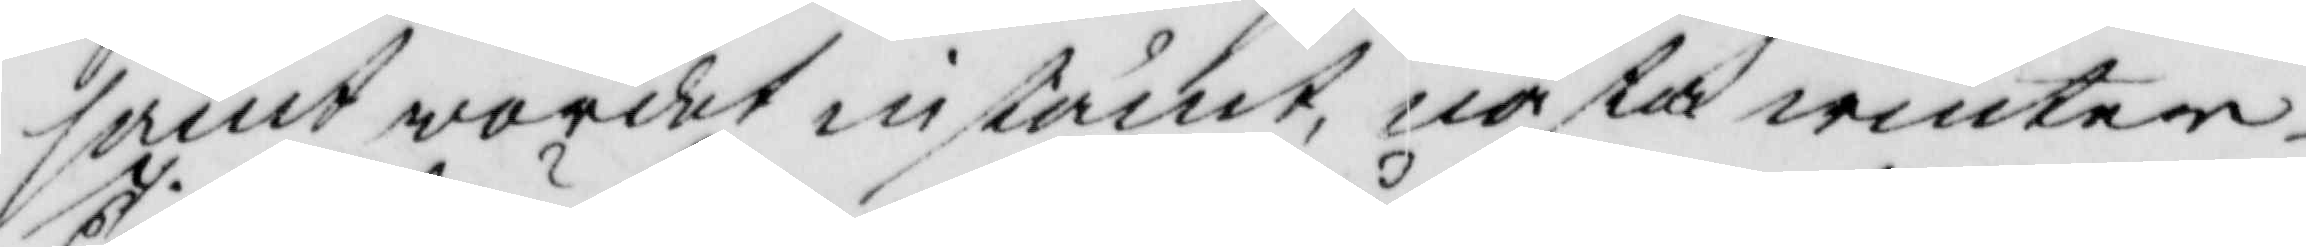samt wordet instämt, nästa winter¬
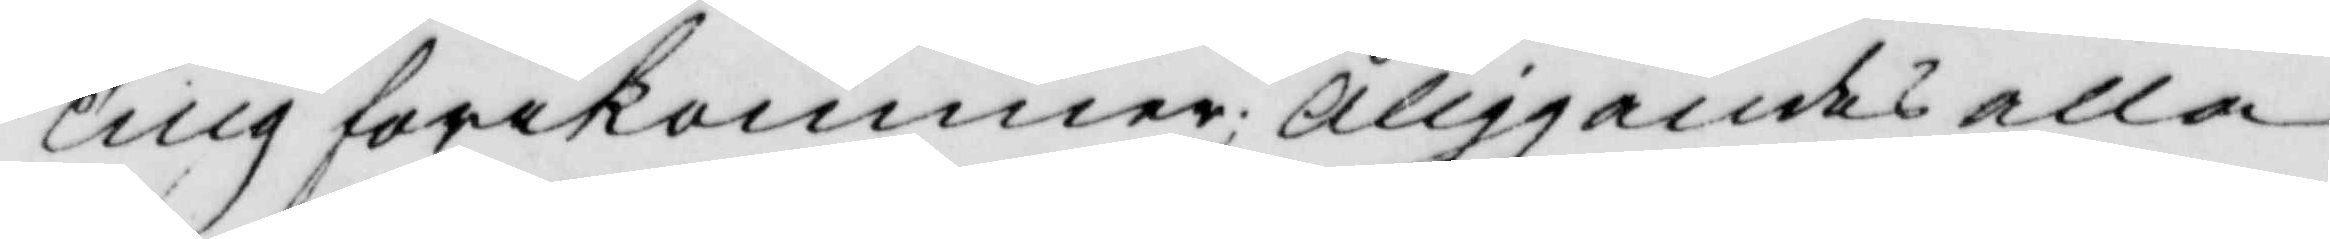Ting förekommer; Åliggandes alla
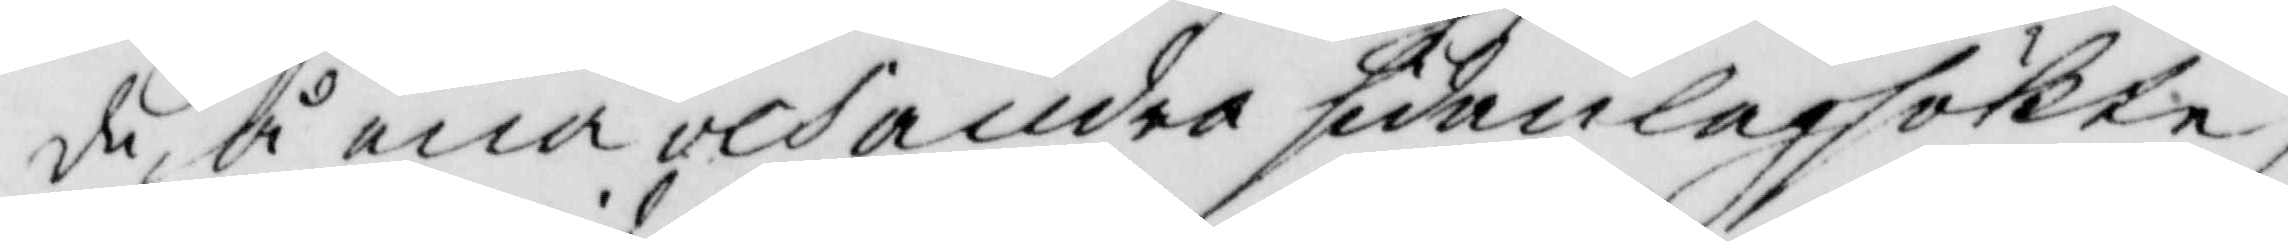de, å ena och andra sidan lagsökte
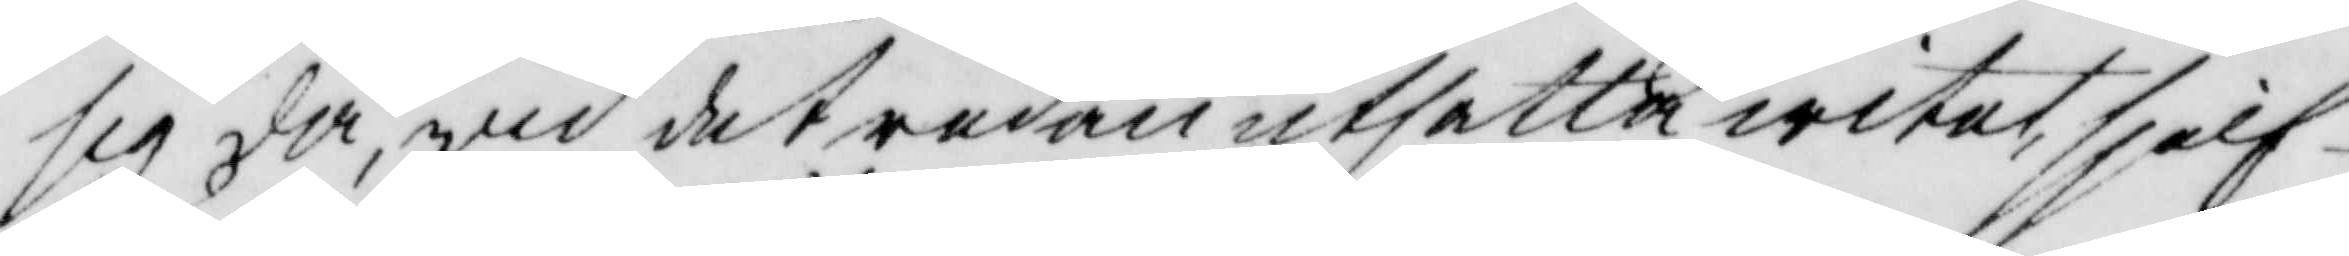sig då wid det redan utsatta witet, sjelf¬
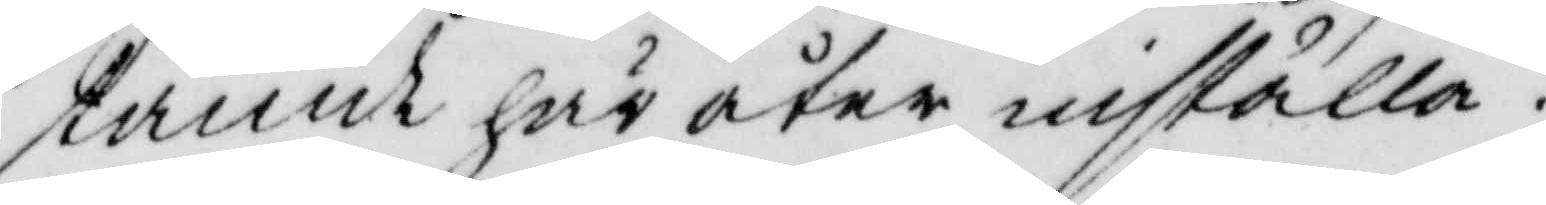tannt här åter inställa.
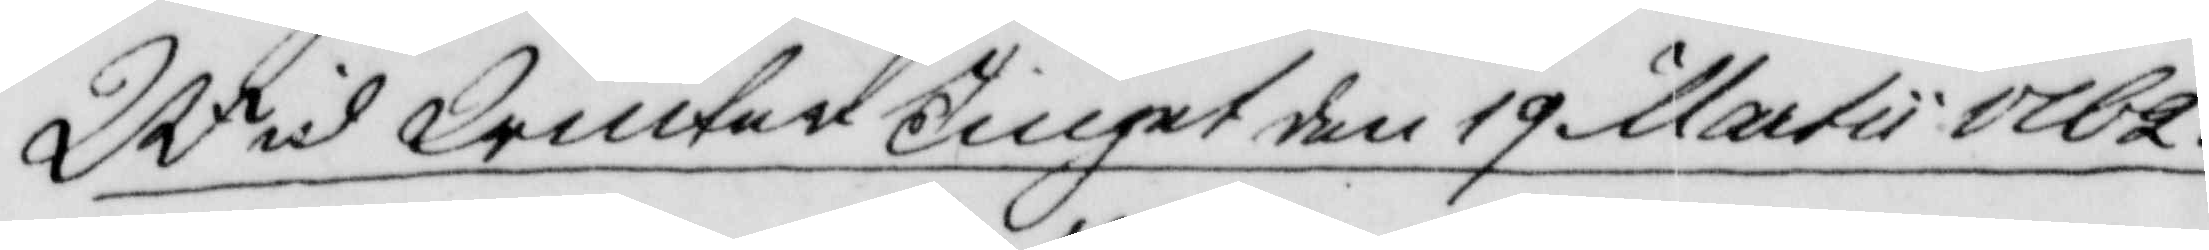Wid Winter Tinget den 19 Martii 1762.
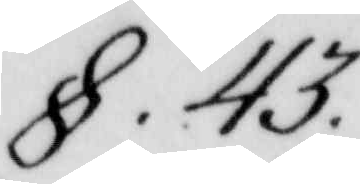§ 43.
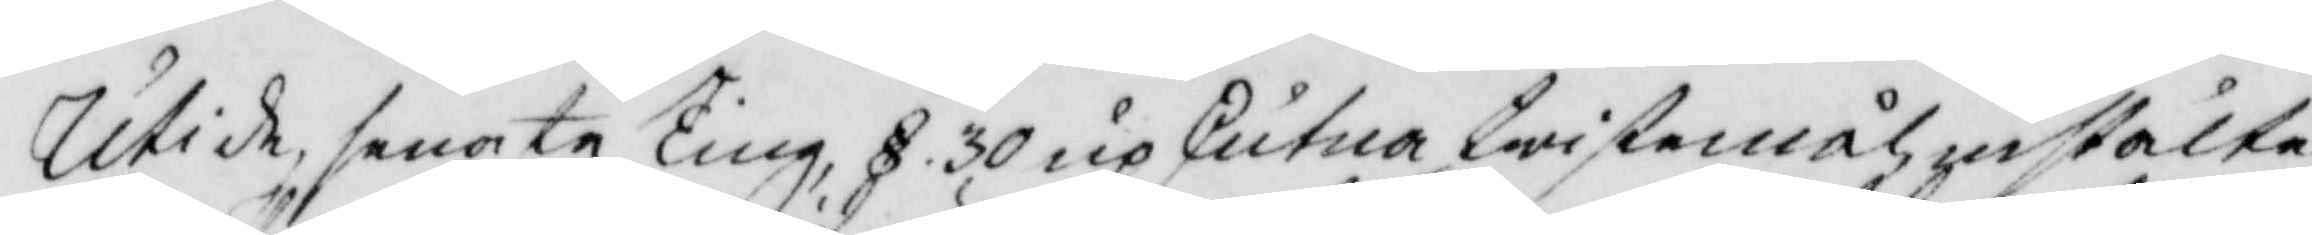Uti de, senaste Ting, § 30 upskjutna twistemål, instälte
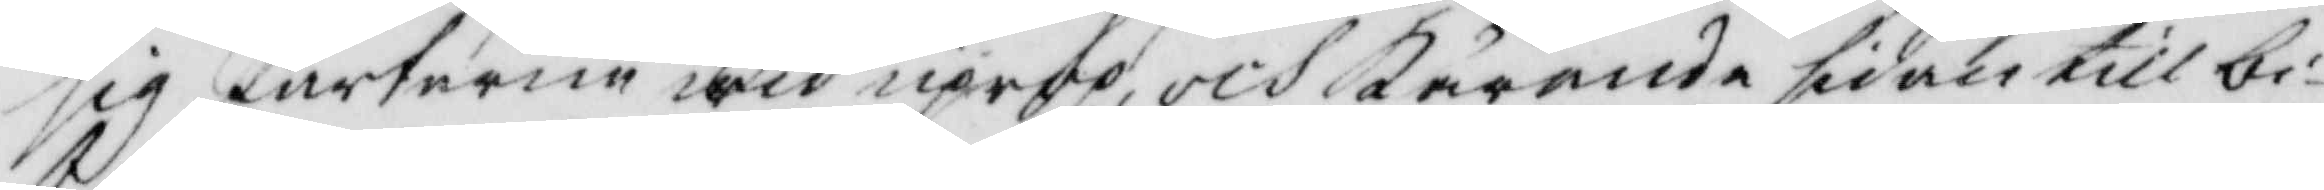sig Parterne wid uprpo, och Kärande sidan till bi¬
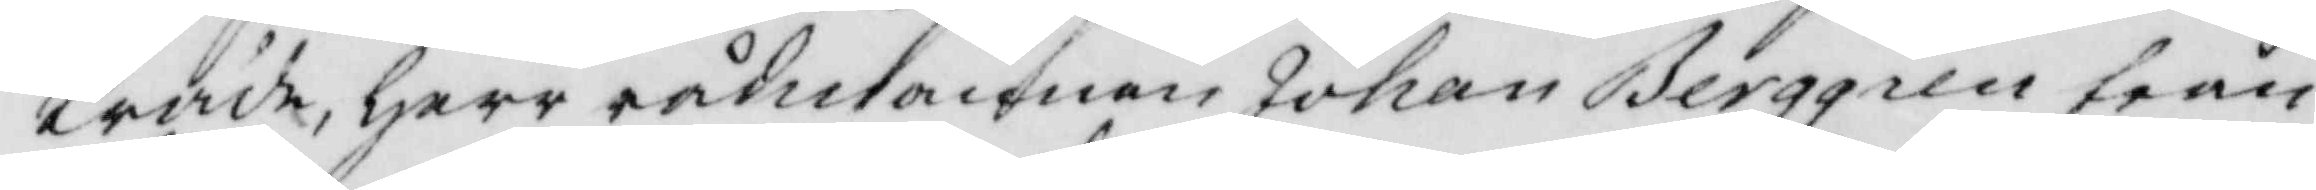träde, Herr rådmannen Johan Berggren från
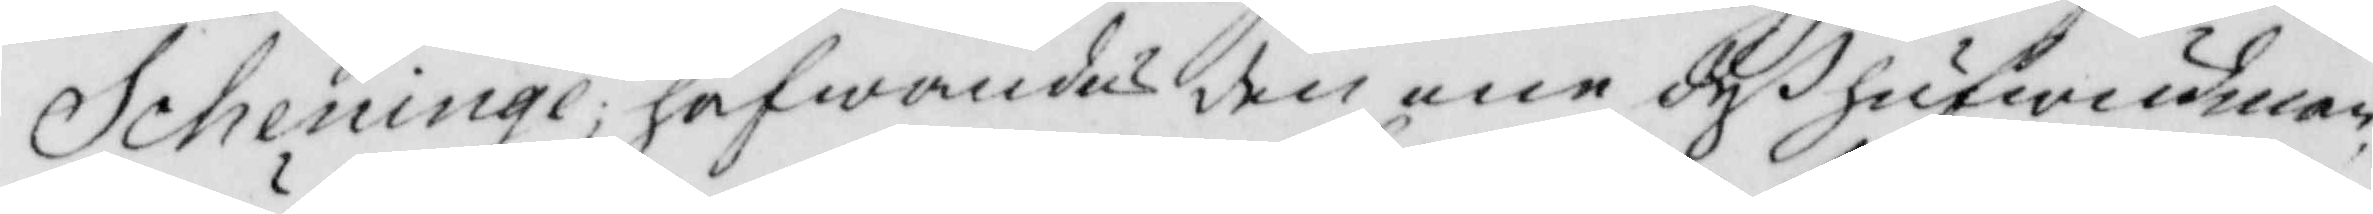Scheninge; hafwandes den ene deß hufwudman
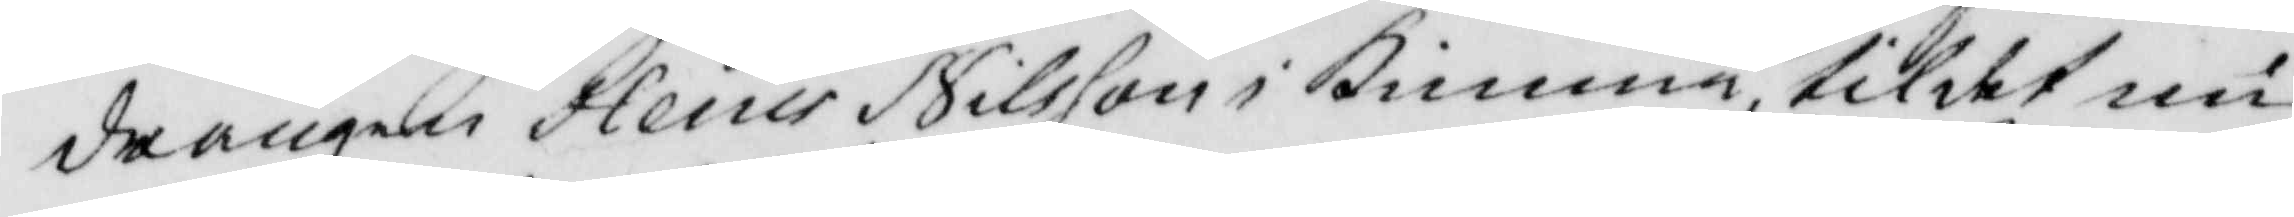drängen Hans Nilsson i Kimme, til det nu
